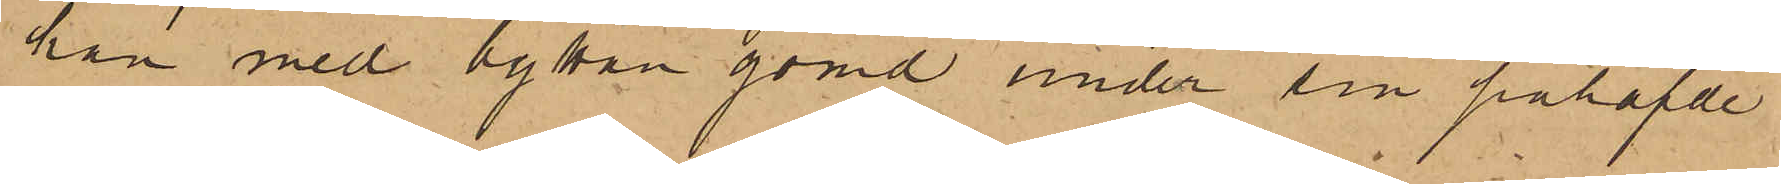han med byttan gömd under sin påhafvde
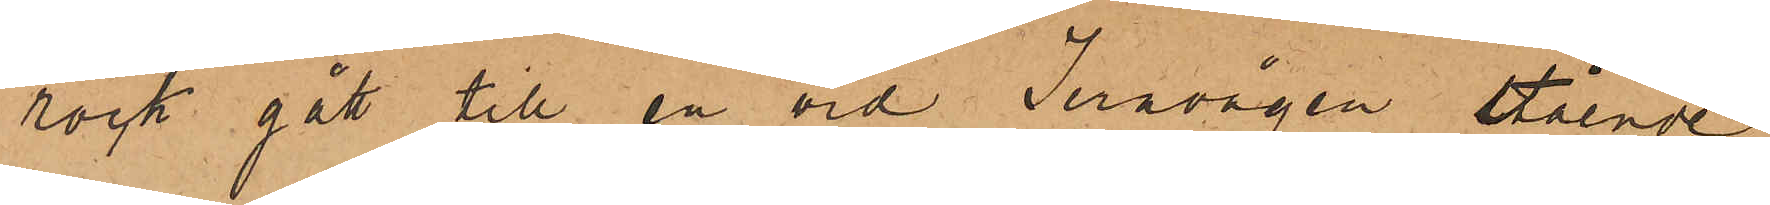rock gått till en vid Jernvågen stående
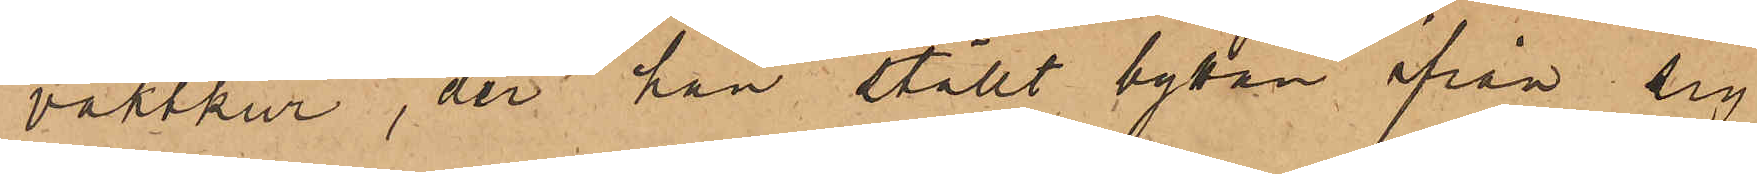vaktkur, der han ställt byttan ifrån sig
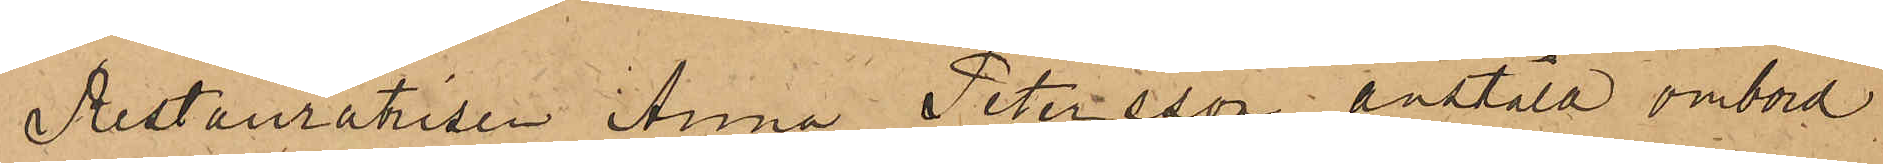Restauratrisen Anna Petersson anstäld ombord
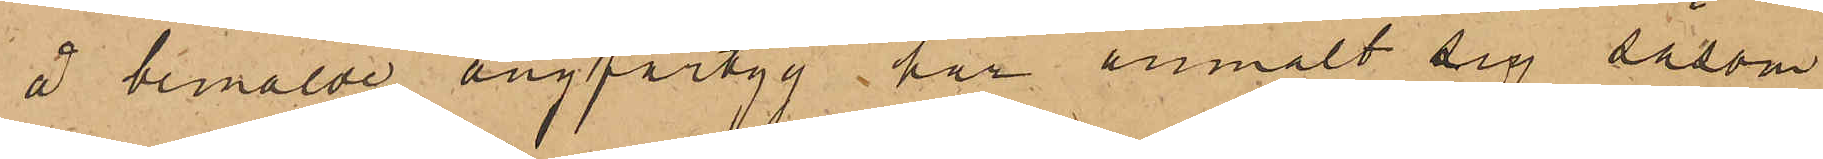å bemälde ångfartyg har anmält sig såsom
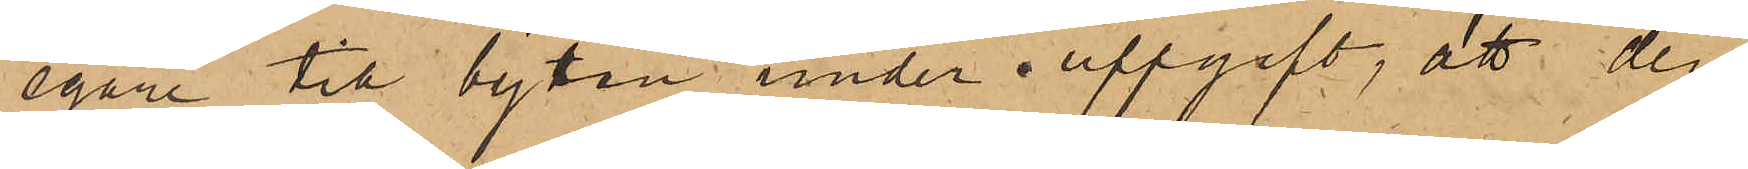egare till byttan under uppgift, att den
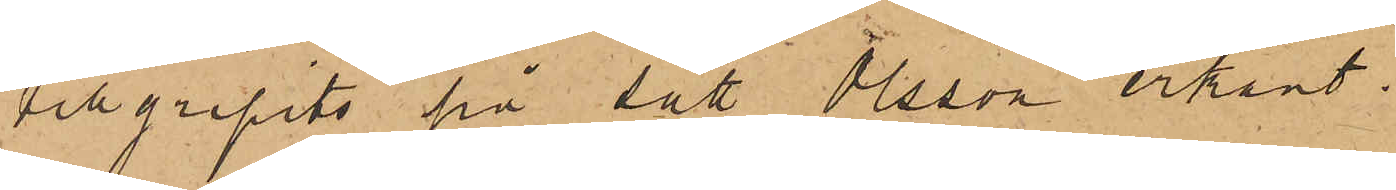tillgripits på sätt Olsson erkänt.
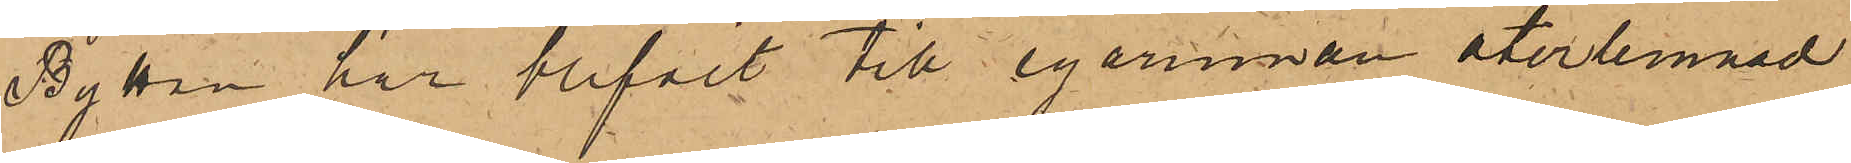Byttan har blifvit till egarinnan återlemnad.
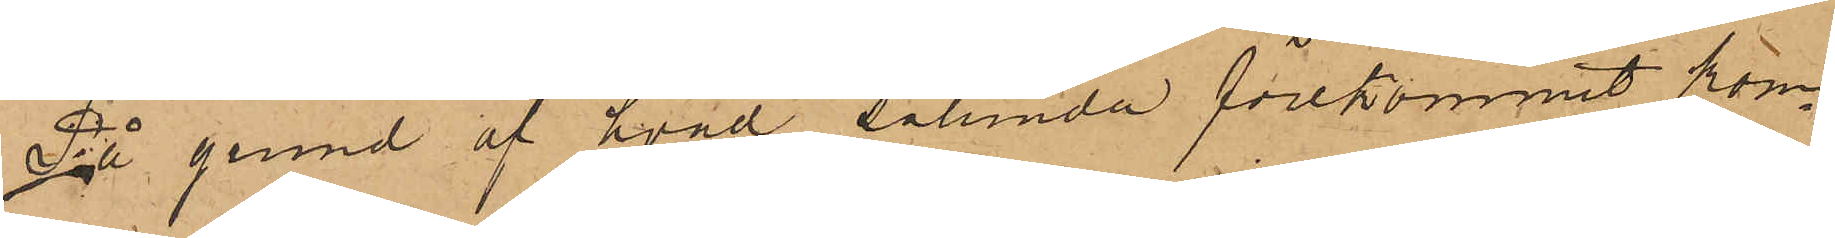På grund af hvad sålunda förekommit kom¬
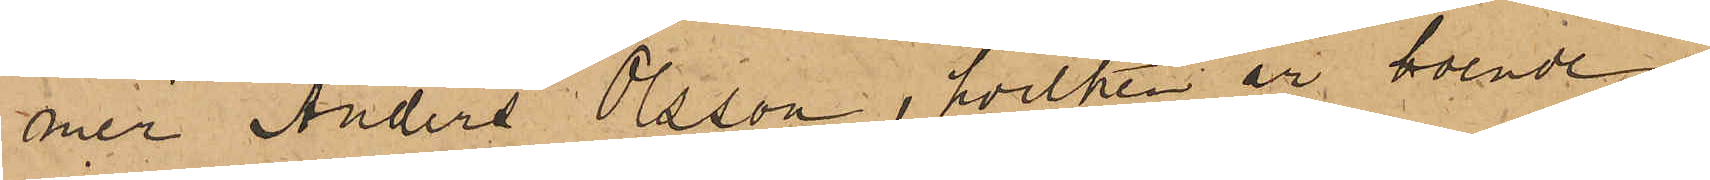mer Anders Olsson, hvilken är boende i
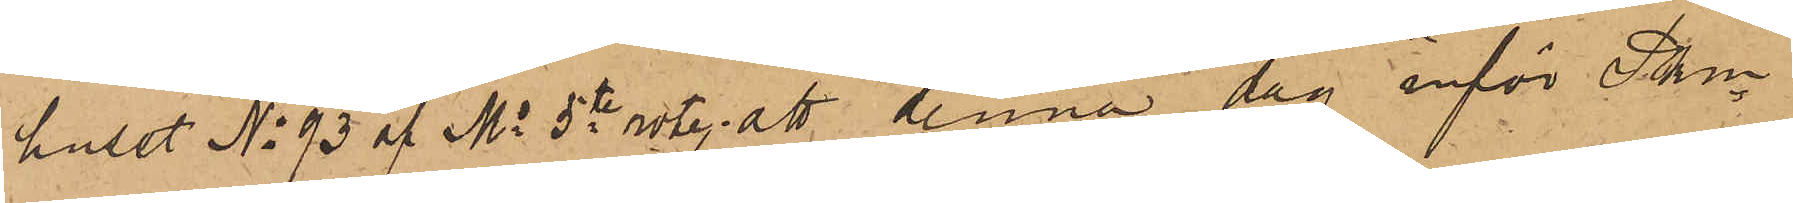huset No 93 af Ms 5te rote, att denna dag inför Pkn
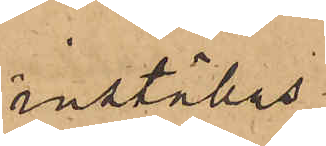inställas.
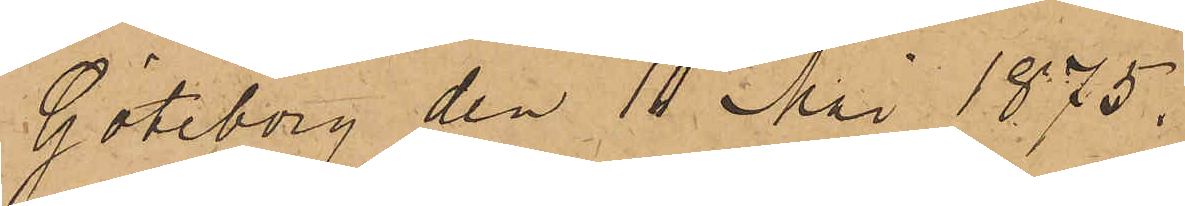Göteborg den 10 Mai 1875.
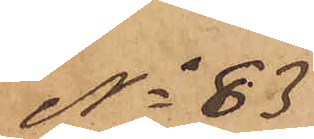No 83
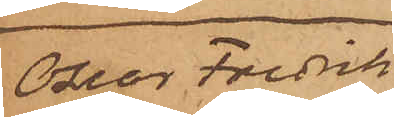Oscar Fredrik
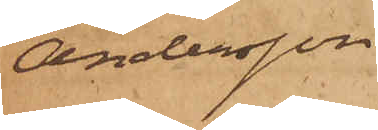Andersson
